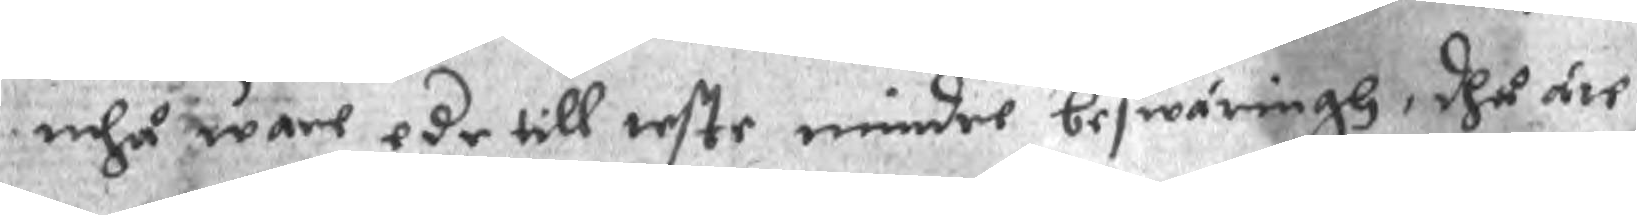mhå ware ede till teste mindre beswäringh, dhå äre
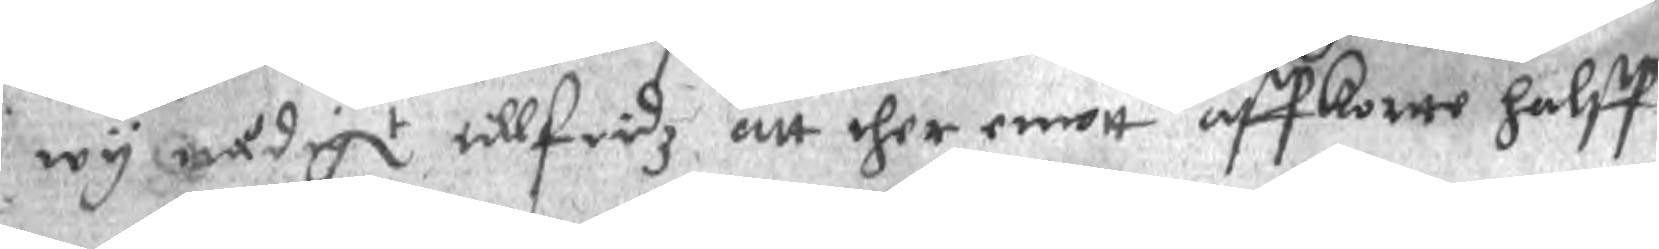wy nådigt tillfridz att ther emott affkortte halff¬
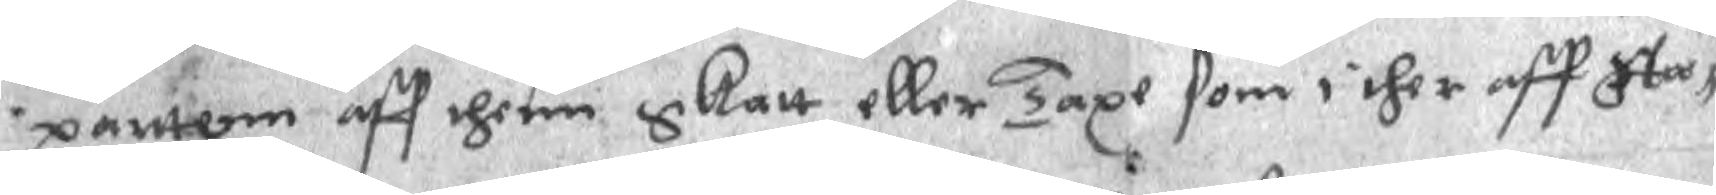partenn aff thenn skatt eller Taxe som i ther aff Sta¬
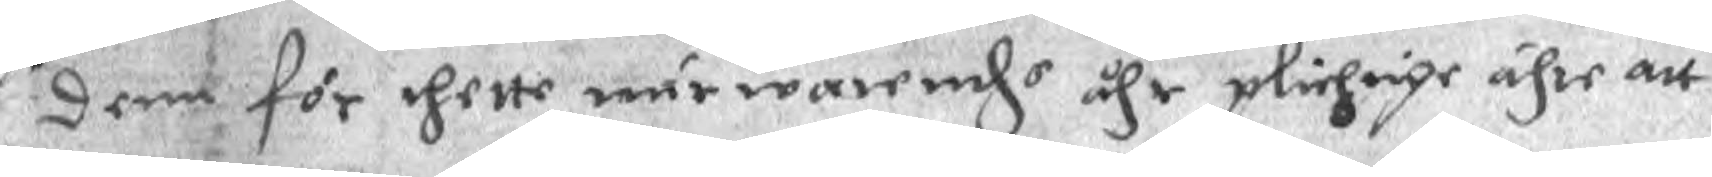denn för thette närwarende ähr plichige ähre att
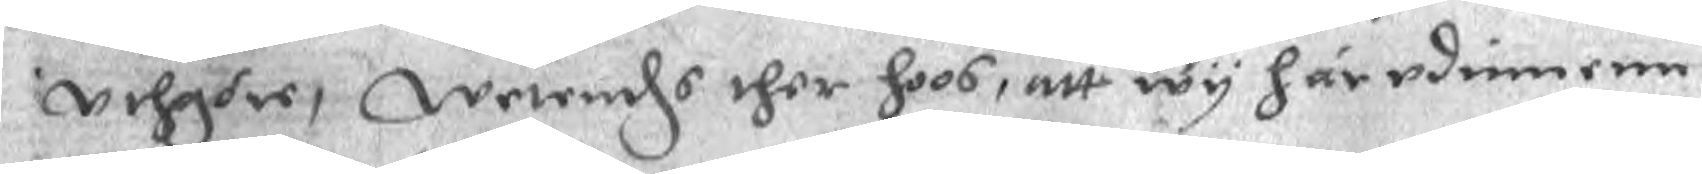uehgre, Werende ther hoos, att wy härudinnenn
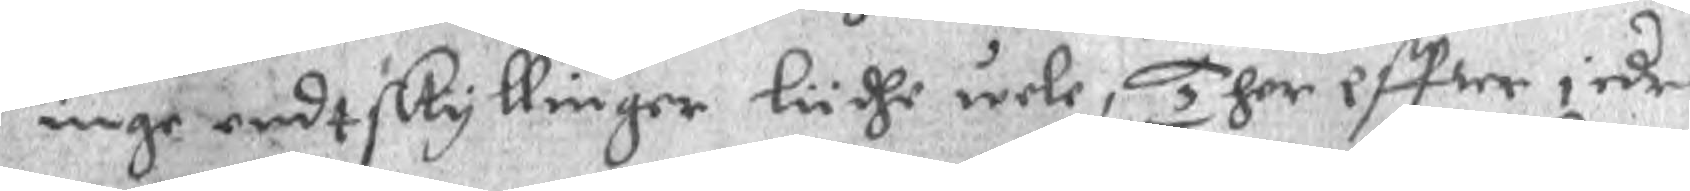inge endtskyllinger ludhe wele, ther effter edr
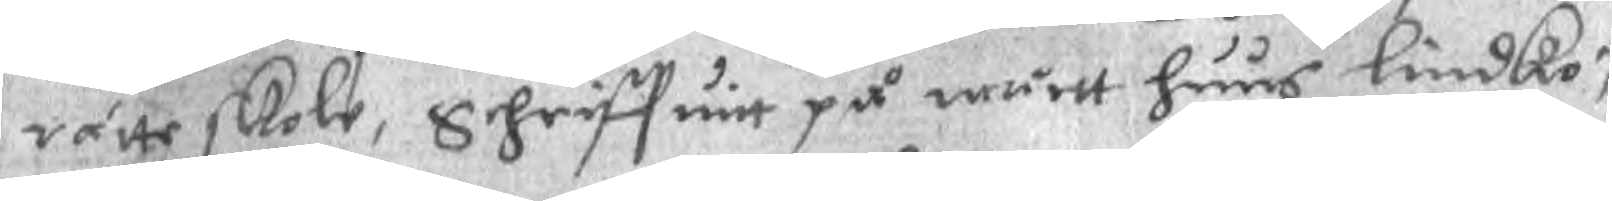rätte skole, Schriffuitt på wårtt huus lindkö¬
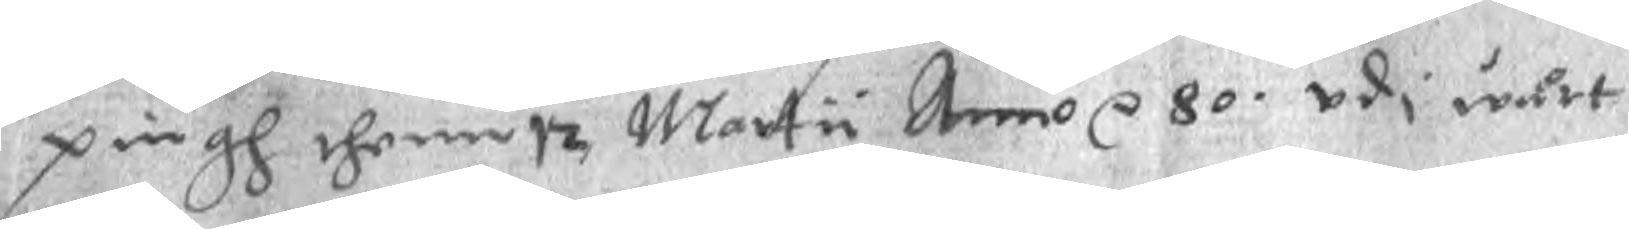pingh thenn 12 Martii Anno r 80. udi wårt
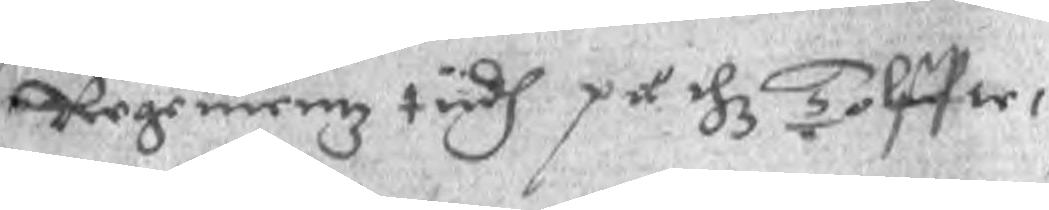Regemeenz tiidh på thz Tolffte,
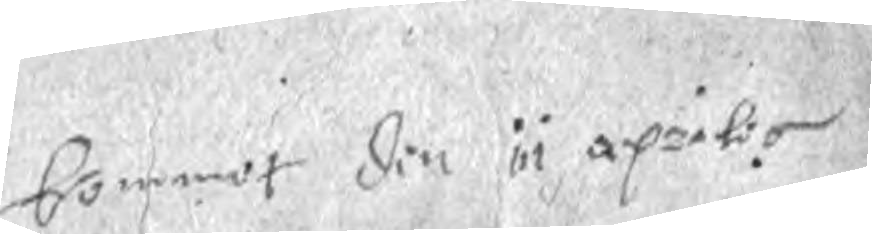bommot din åi apriloo
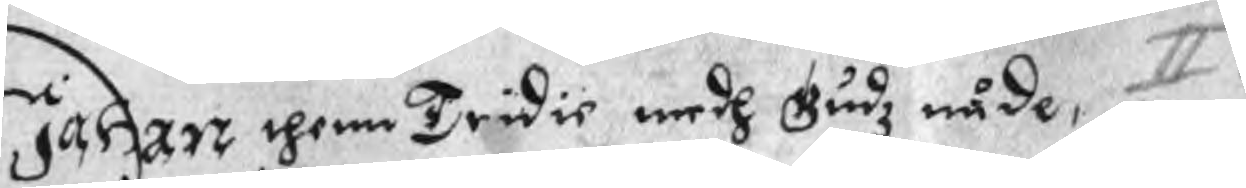Johan thenn Tridie medh Gudz nåde, II:
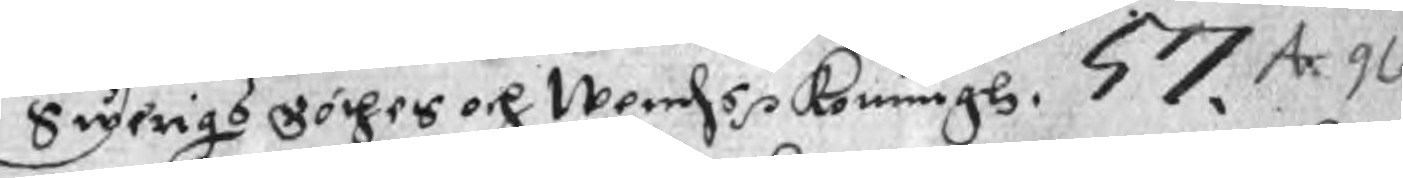Swerigs Göthes och Wendzs p Konungs. 57. Ax 96
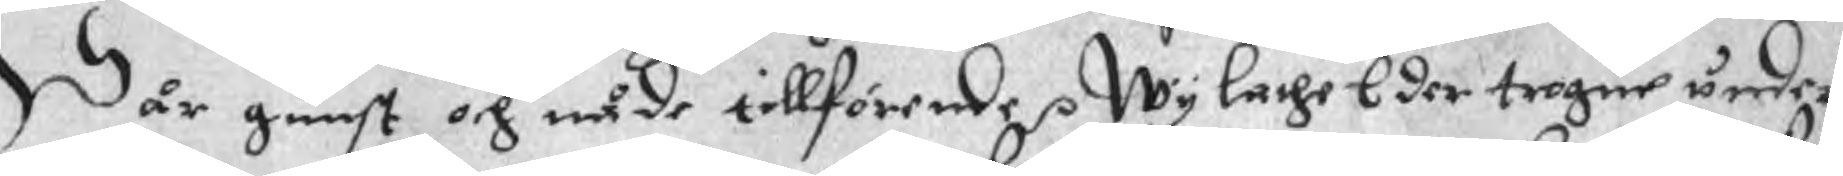Wår gunst och nåde tillförende p Wy lathe Eder trogne under¬
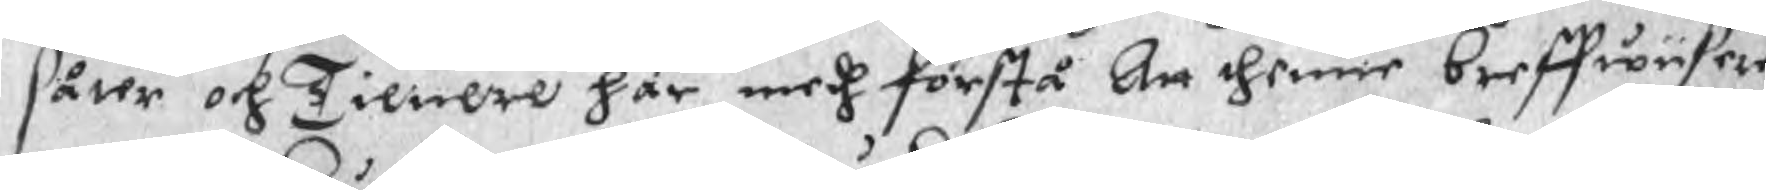såter och Tienere här medh förstå Att thenne breffwiiisere
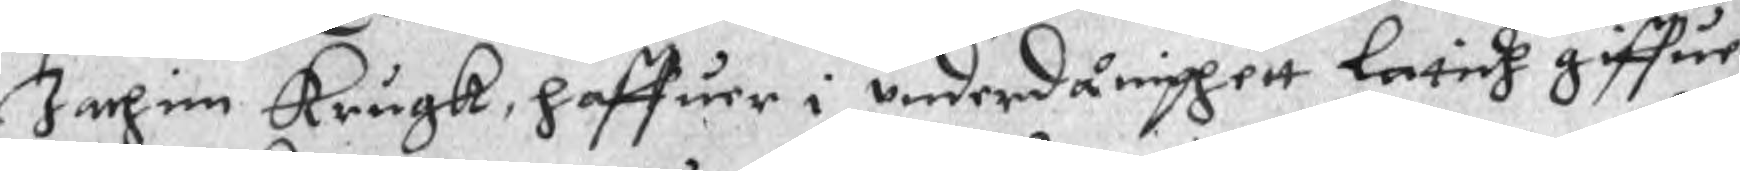Jachim Krugk, haffuer i underdånighett latidh giffue
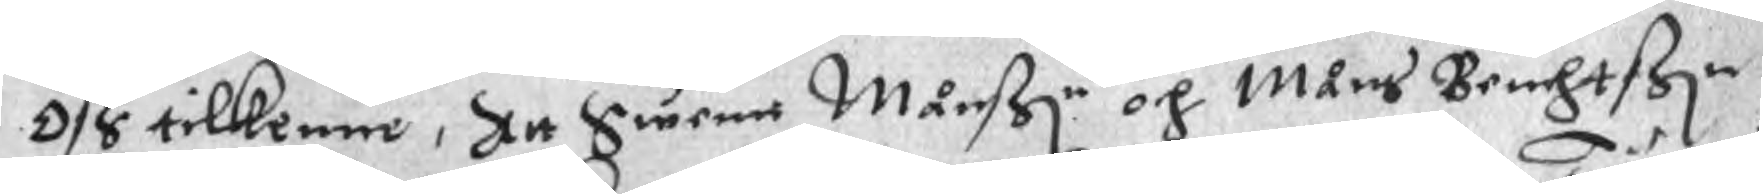Oss tilkenne, Att Swenn Månßn och Måns Benchtßn
